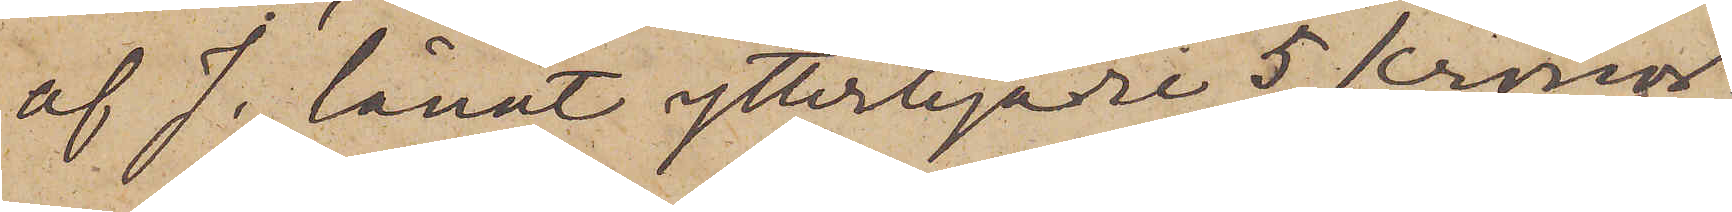af J. lånat ytterligare 5 kronor;
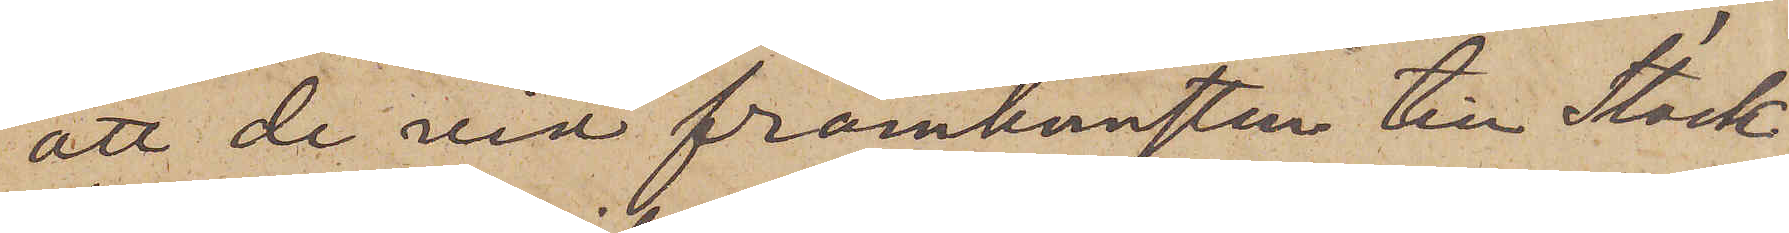att de vid framkomsten till Stock¬
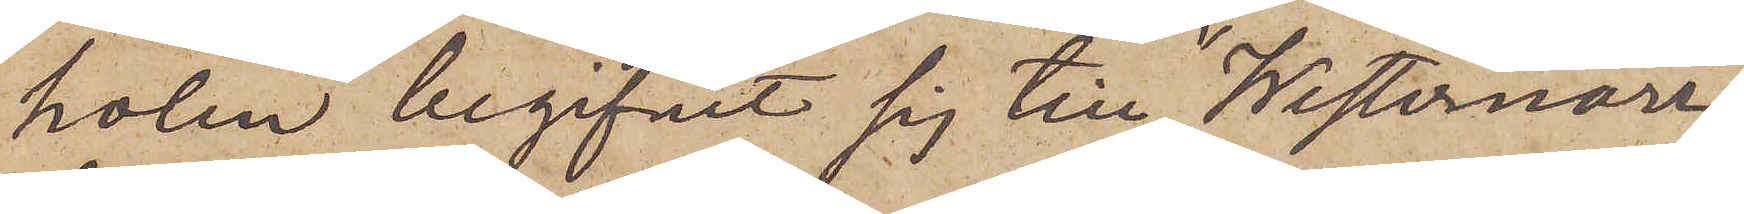holm begifvit sig till "Westernorr¬
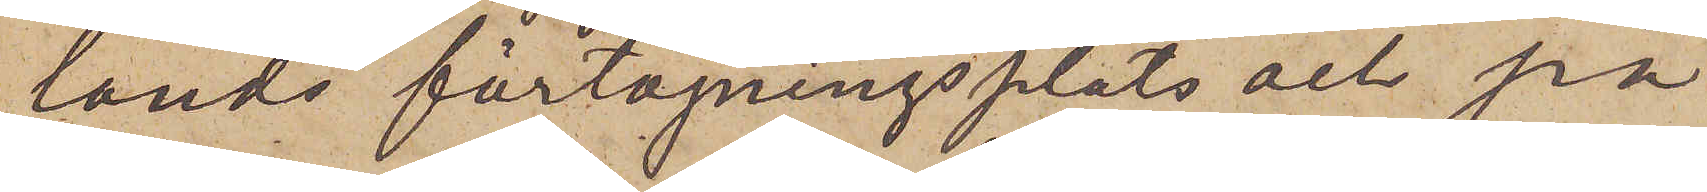lands"  förtöjningsplats och på
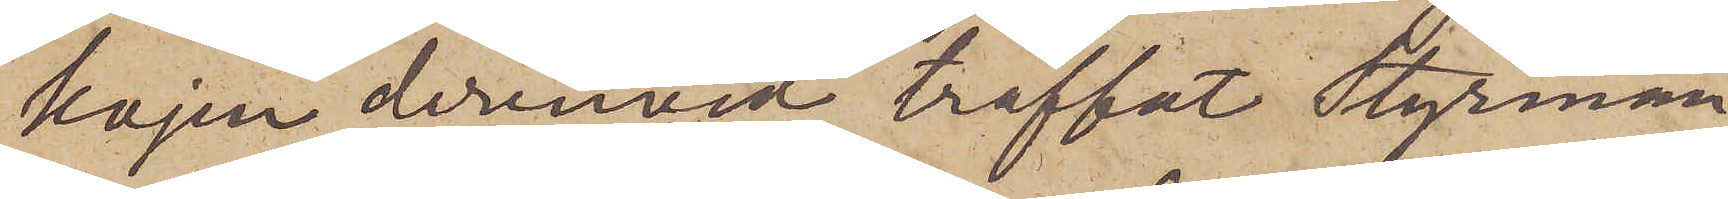kajen derinvid träffat Styrman¬
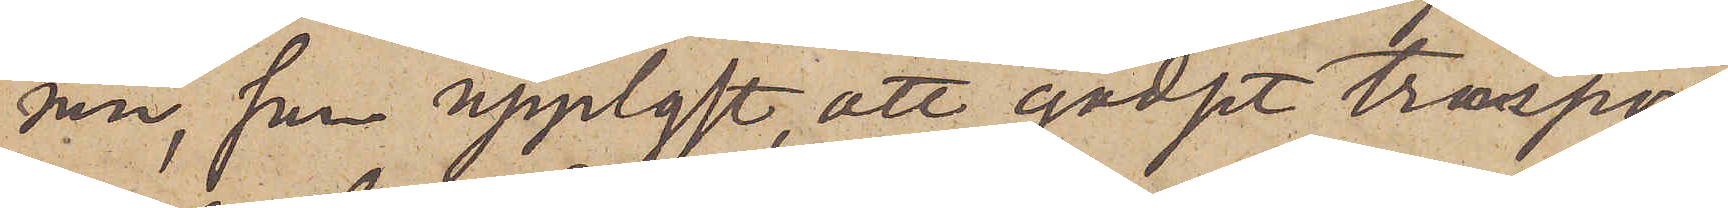nen, som upplyst, att godset transpor¬
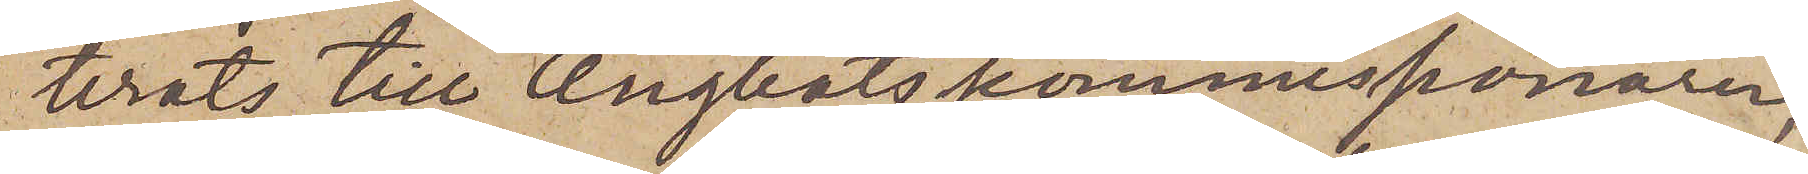terats till Ångbåtskommissonären,
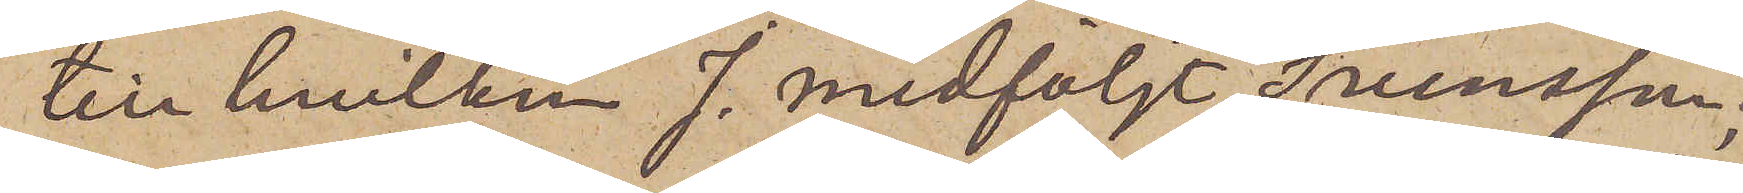till hvilken J. medföljt Svensson;
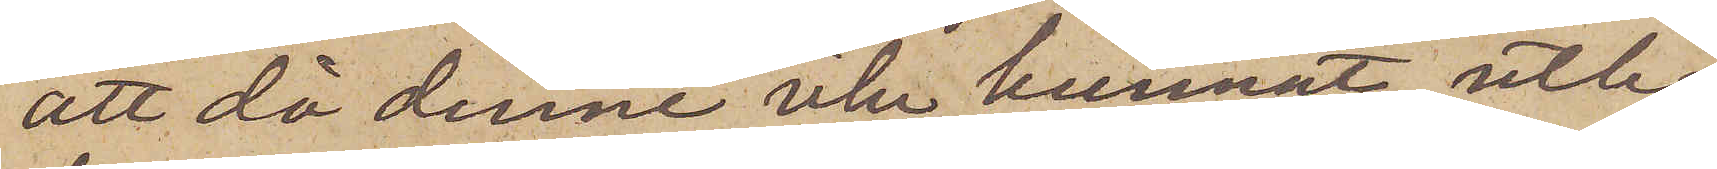att då denne icke kunnat utbe¬
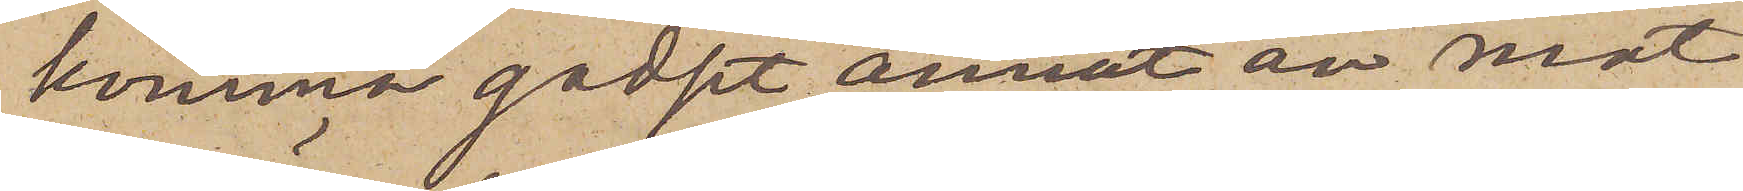komma godset annat än mot
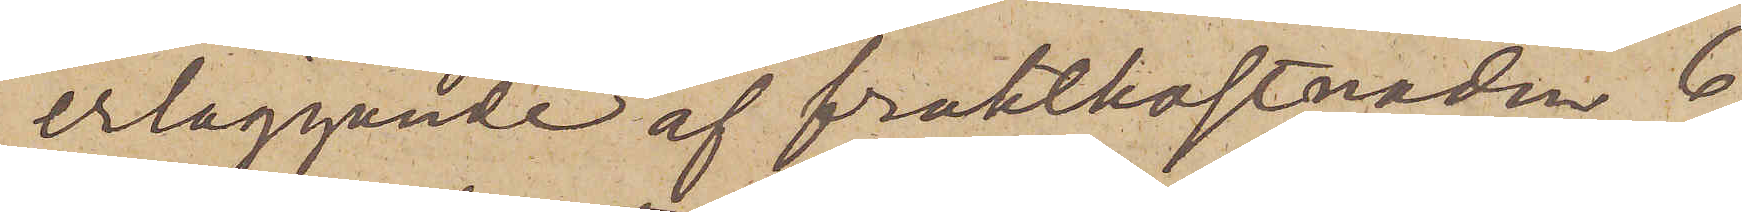erläggande af fraktkostnaden, 6
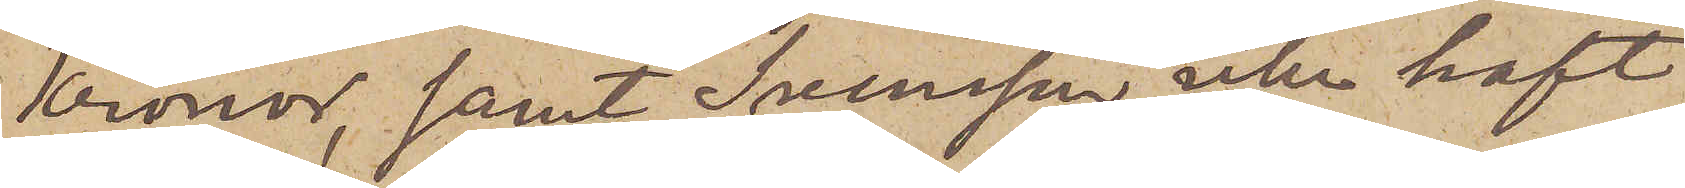Kronor, samt Svensson icke haft
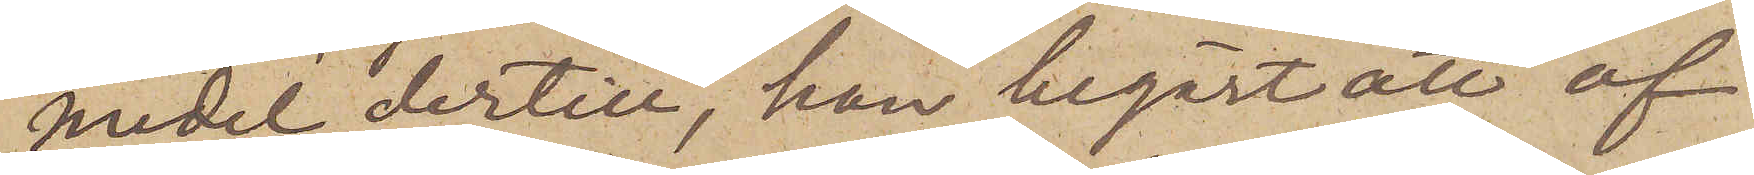medel dertill, han begärt att af
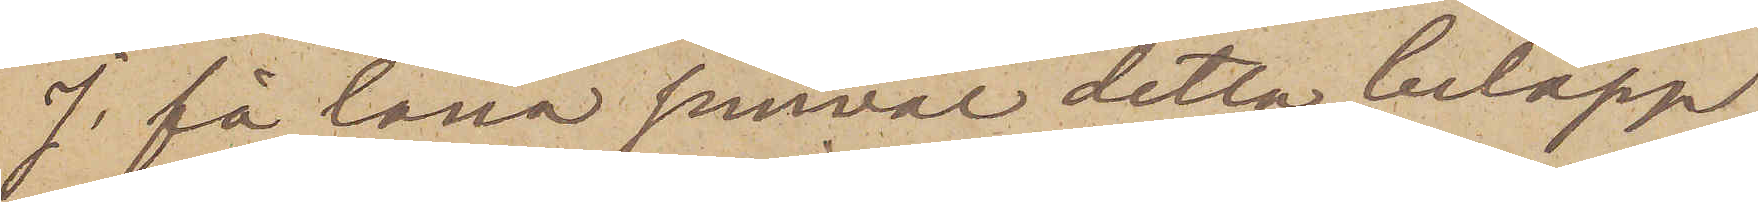J. få låna jemväl detta belopp,
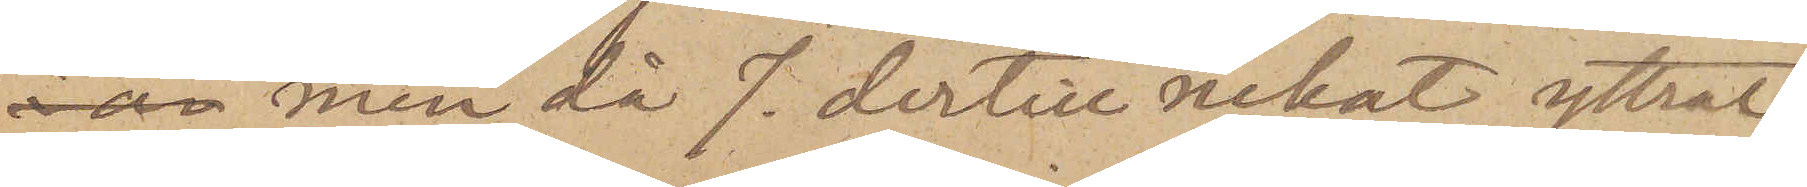 men då J. dertill nekat, yttrat
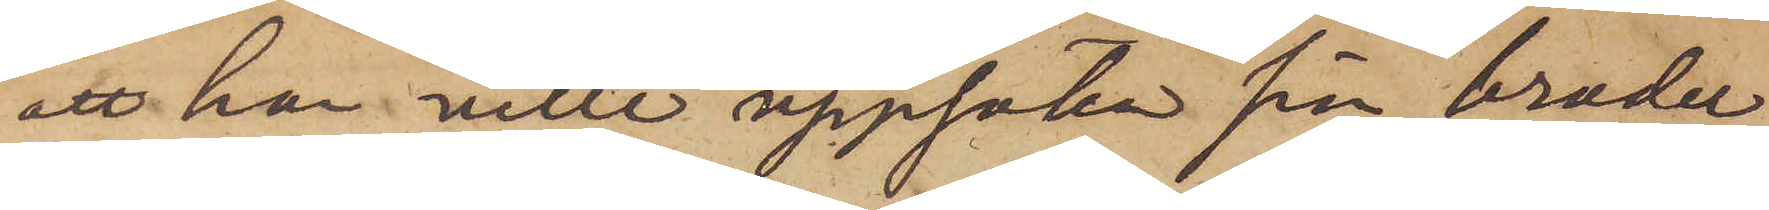att han ville uppsöka sin broder
